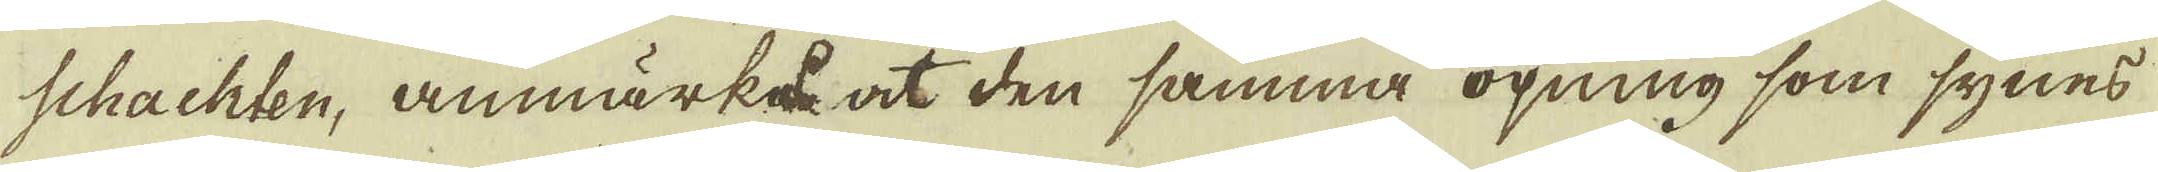schachten, anmärka at den samma öpning som synes
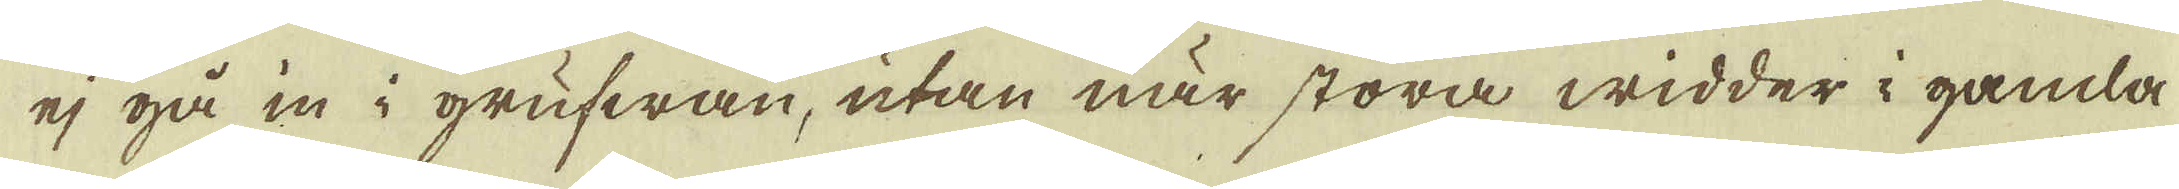ej på in i grufwan, utan när stora widder i gamla
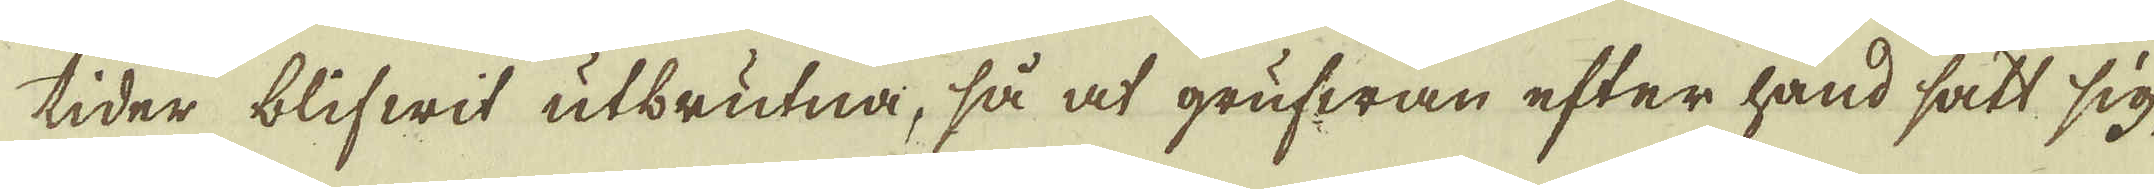tider blifwit utbrutna, så at grufwan efter hand satt sig
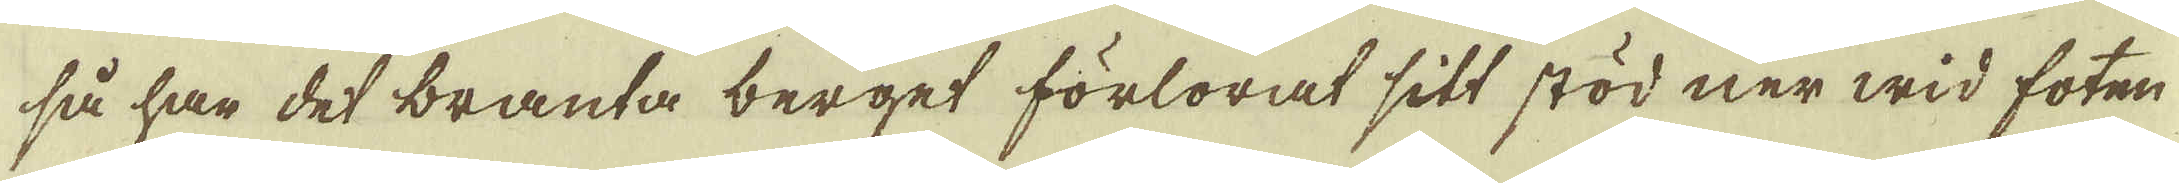så har det bransa berget förlorat sitt stöd ner wid foten
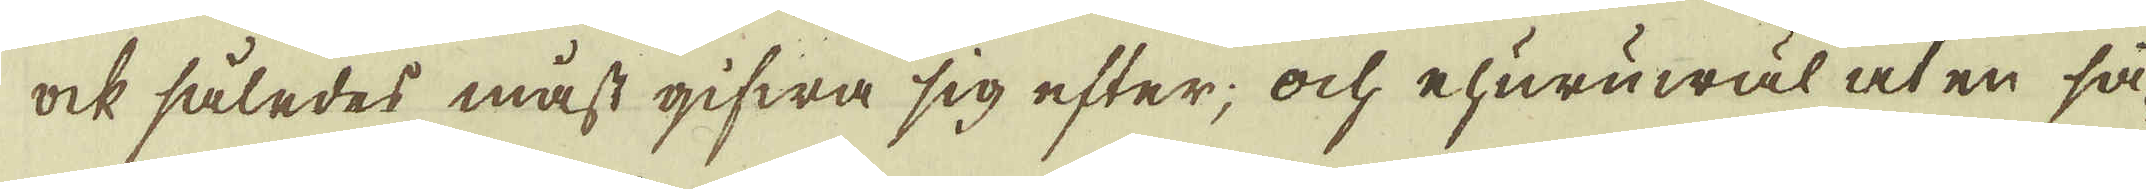ock således måst gifwa sig efter; ock ehuruwäl at en så-
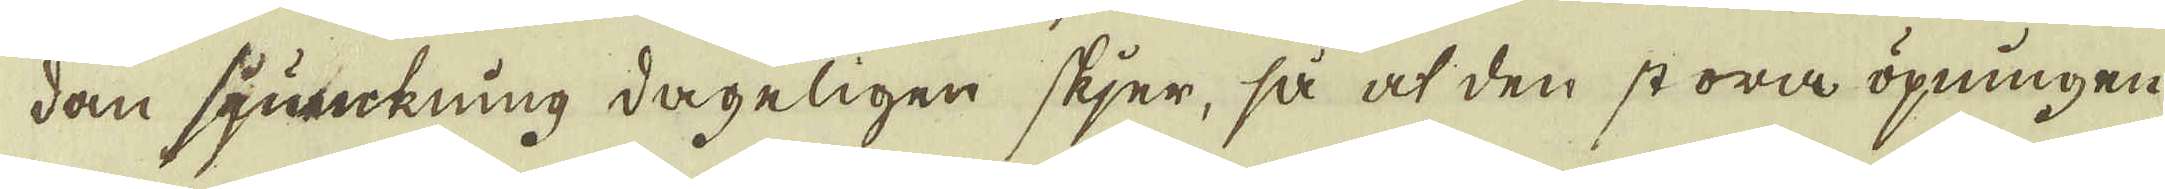dan sjunckning dageligen skjer, så at den stora öpningen
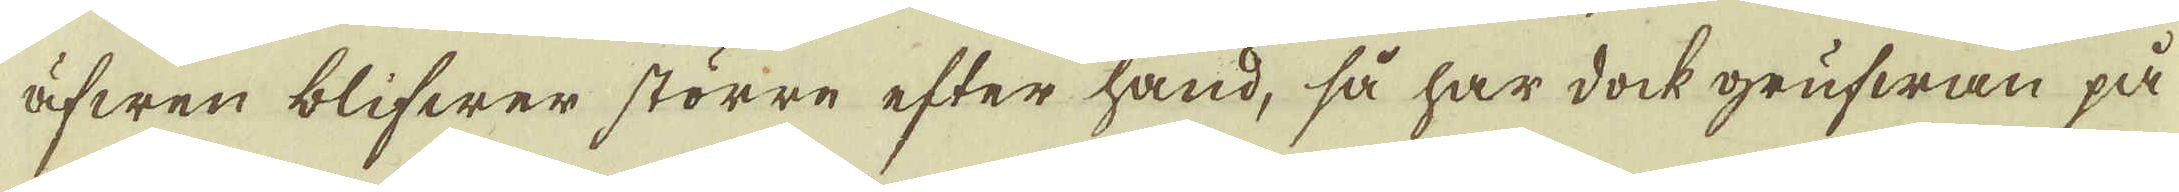äfwen blifwer större efter hand, så har dock grufwan på
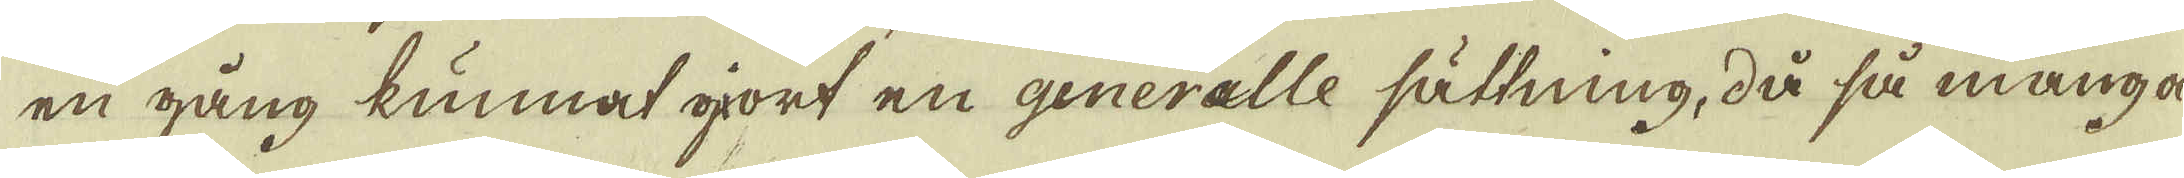en gång kunnat gjort en generalle sättning, då så många
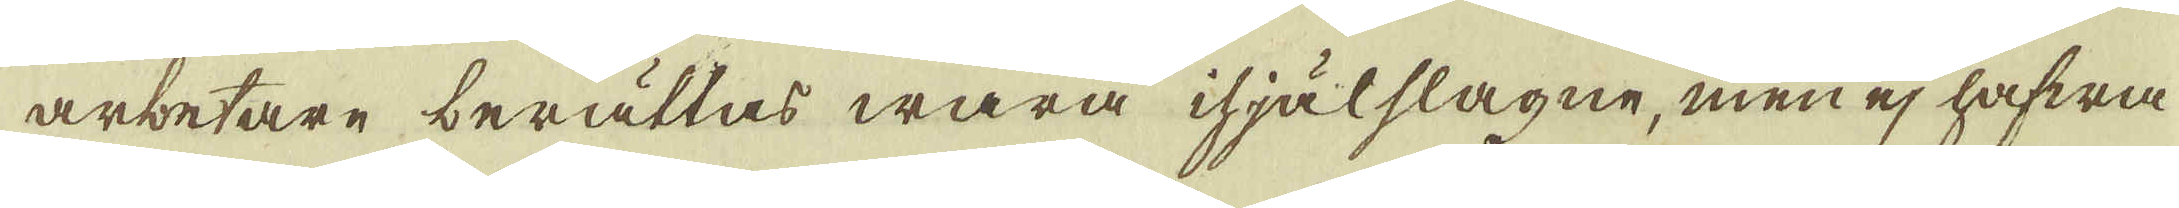arbetare berättas wara ihjälslagne, men ej hafwa
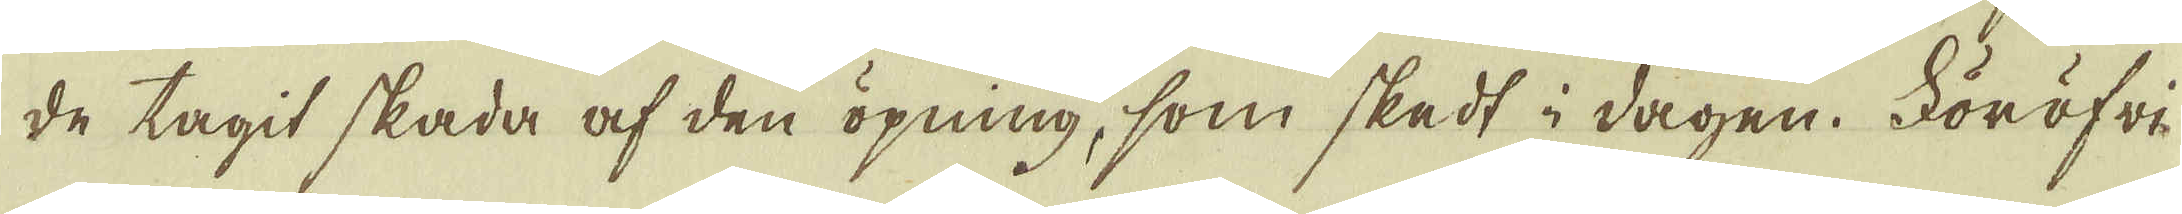de tagit skada af den öpning, som skedt i dagen. Föröfri-
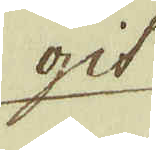git
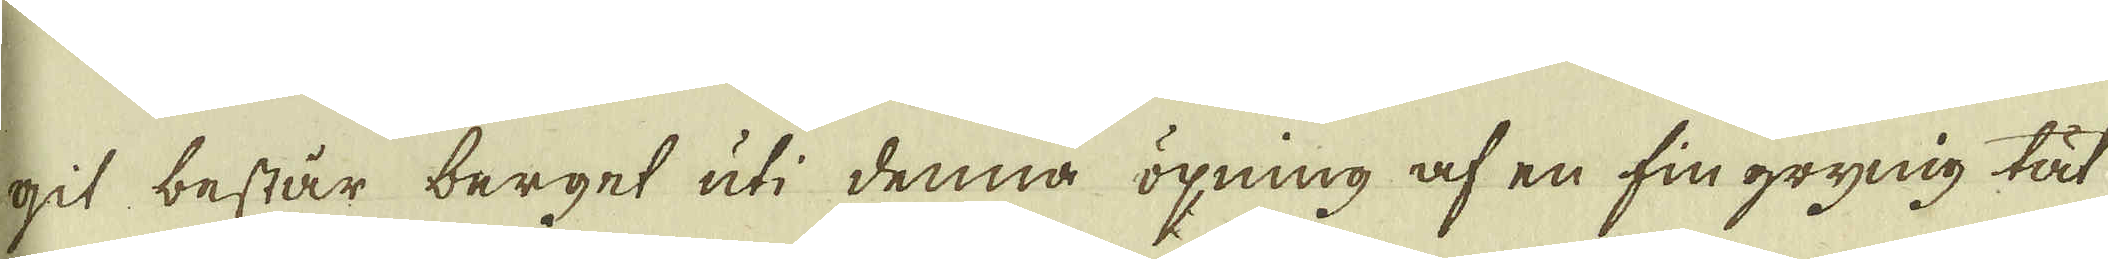git består berget uti denna öpning af en fin grynig tät
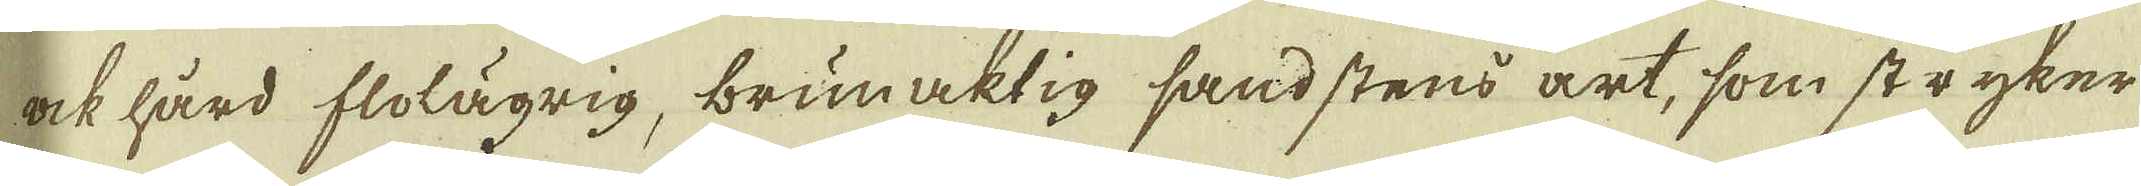ock hård flolägrig, brunaktig sandstens art, som stryker
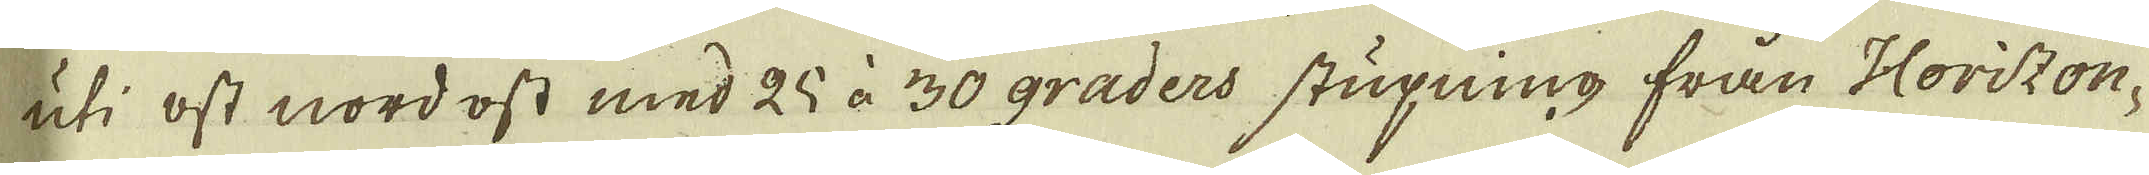uti ost nordost med 25 à 30 graders stupning från Horizon-
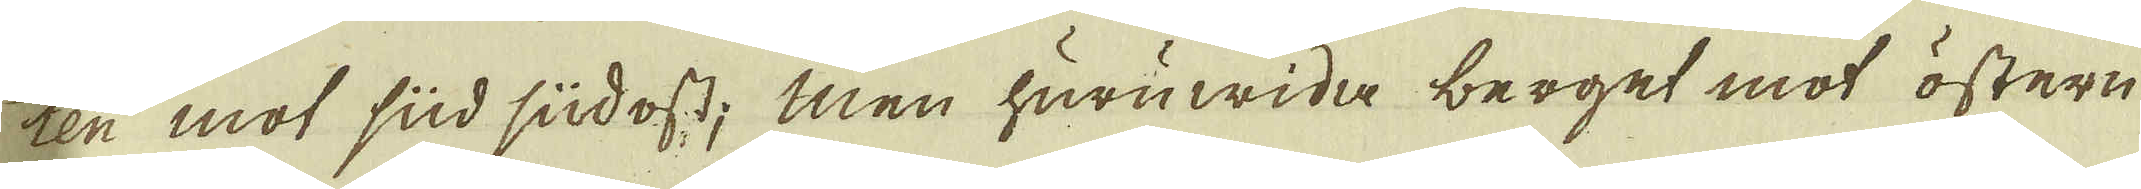ten mot sud sudost; men huruwida berget mot östern
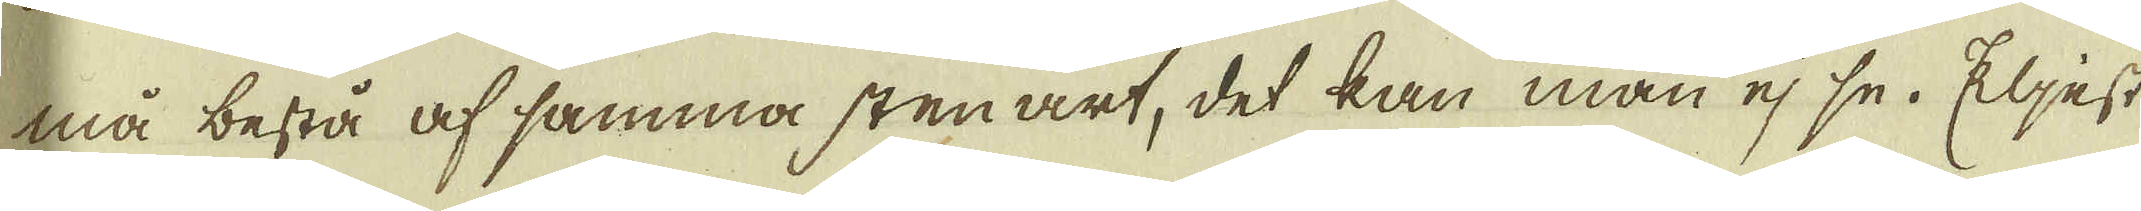må bestå af samma sten art, det kan man ej se. Eljest
